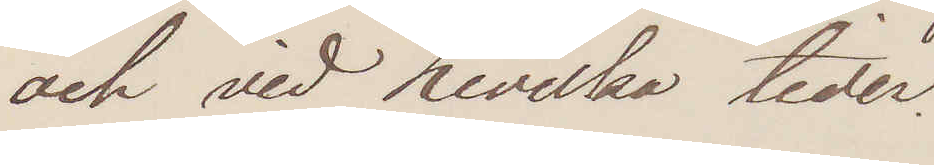och hvid hvilka tider.
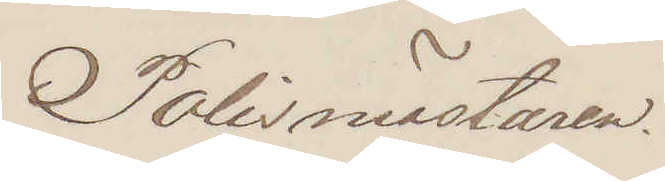Polismästaren.
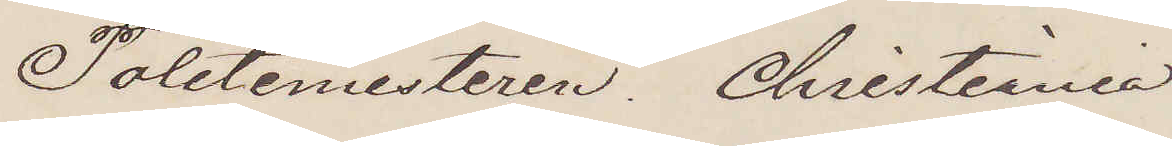Politimesteren. Christiania
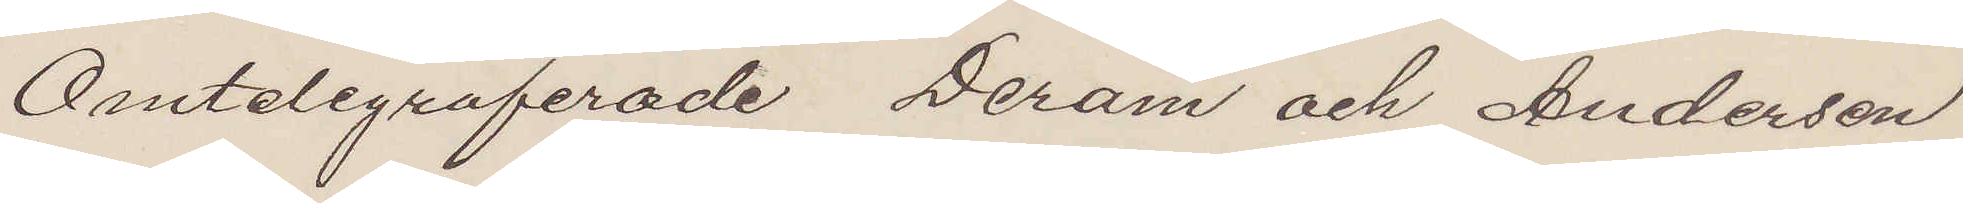Omtelegraferade Deram och Andersen
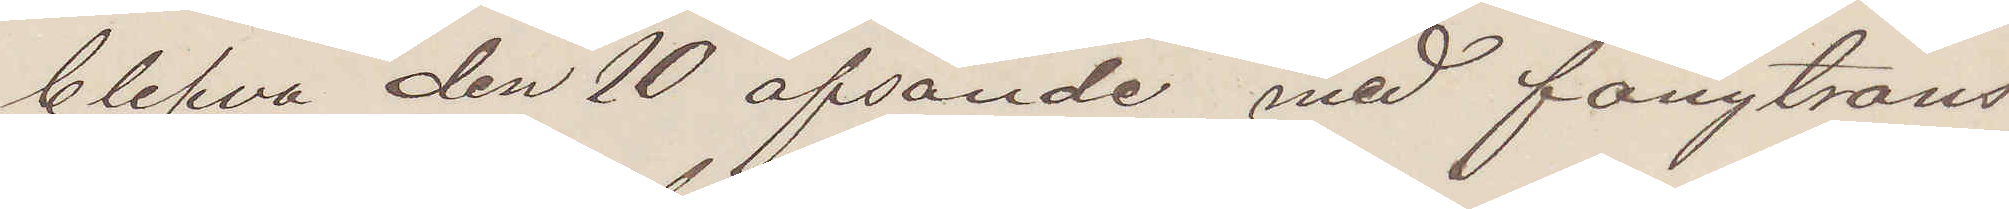blefvo den 10 afsände med fångtrans¬
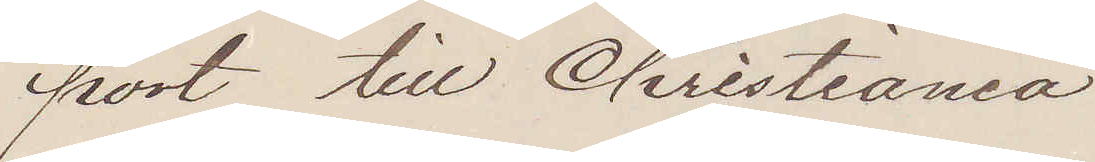port till Christiania
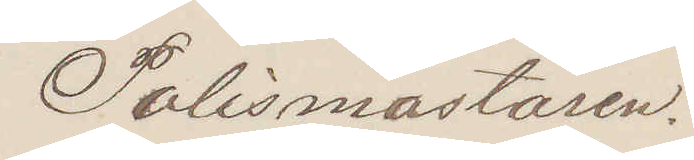Polismästaren.
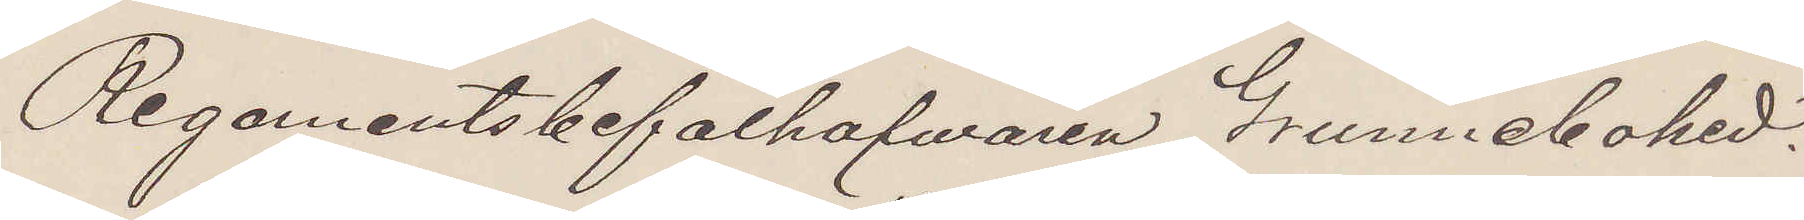Regementsbefälhafvaren Grunnebohed.
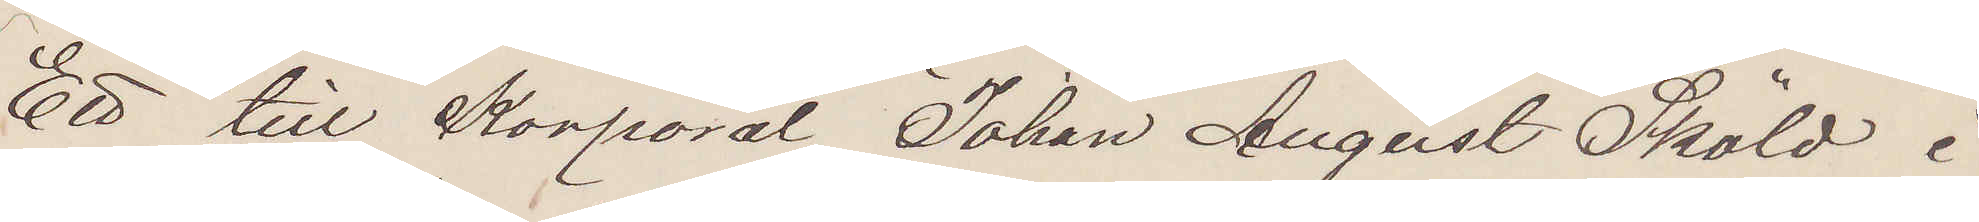Ett till Korporal Johan August Sköld i
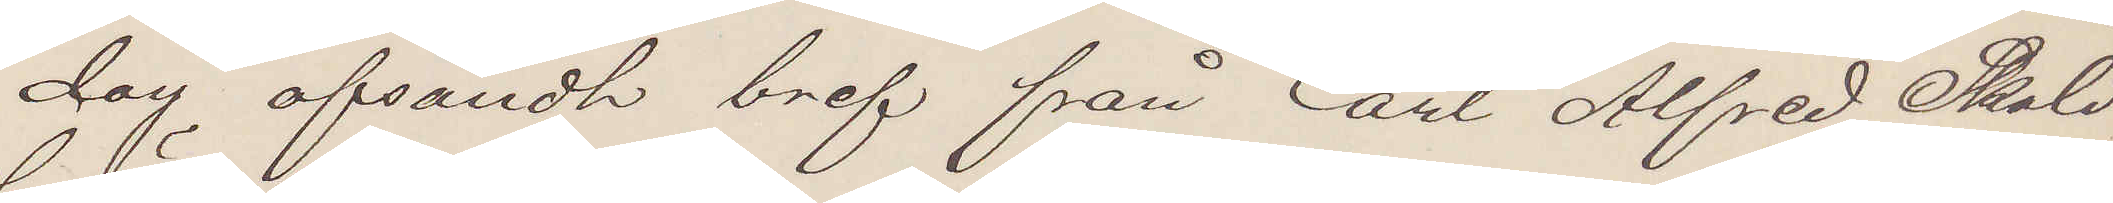dag afsändt bref från Carl Alfred Sköld
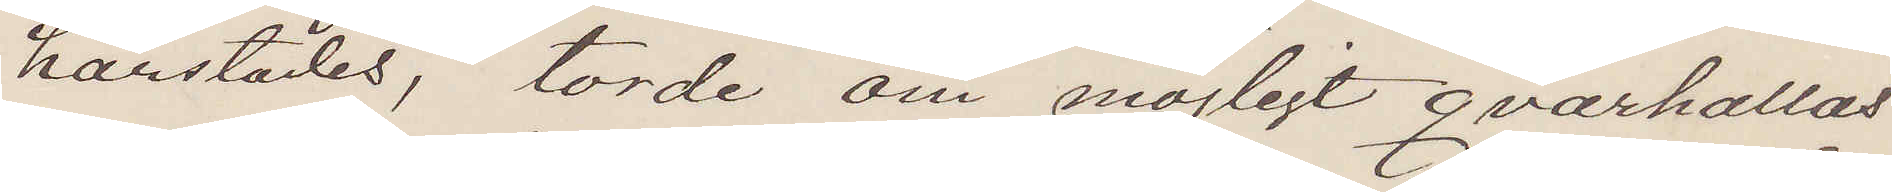härstädes, torde om möjligt qvarhållas.
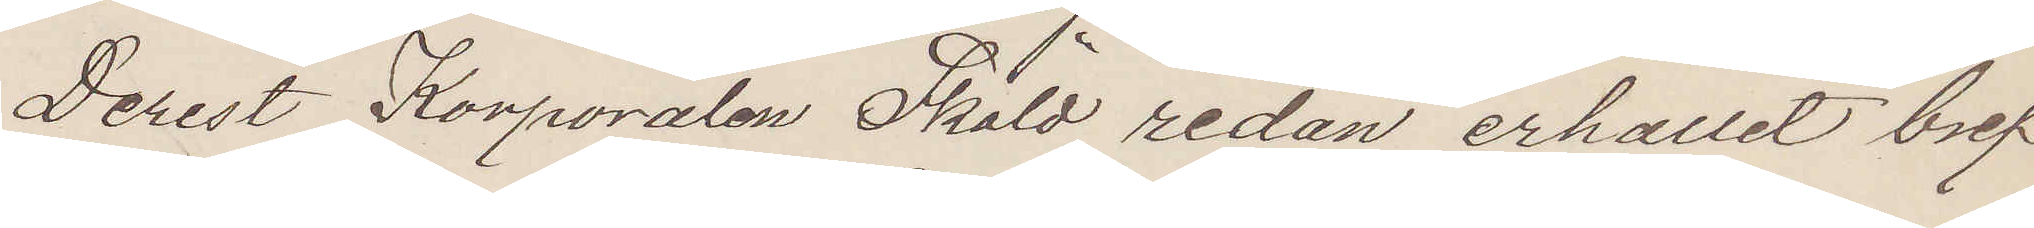Derest Korporalen Sköld redan erhållit bref¬
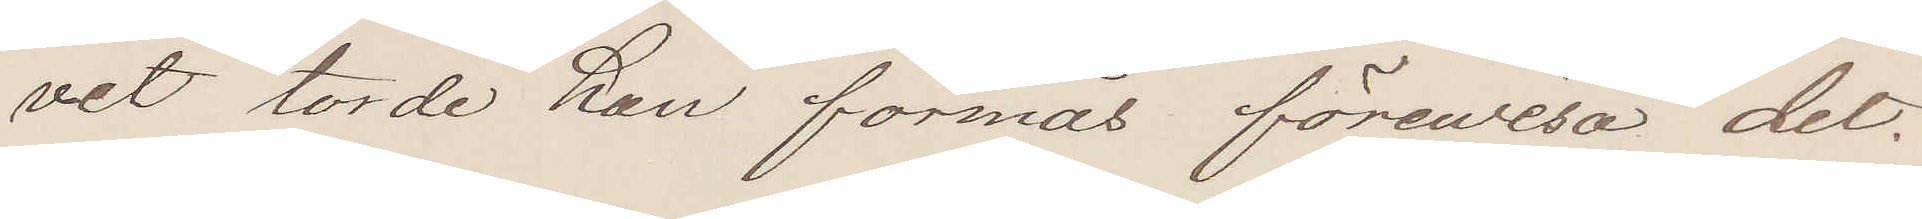vet torde han förmås förevisa det.
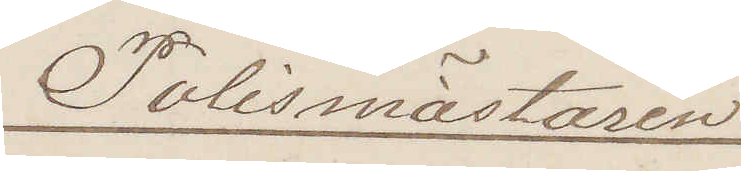Polismästaren.
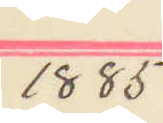1885
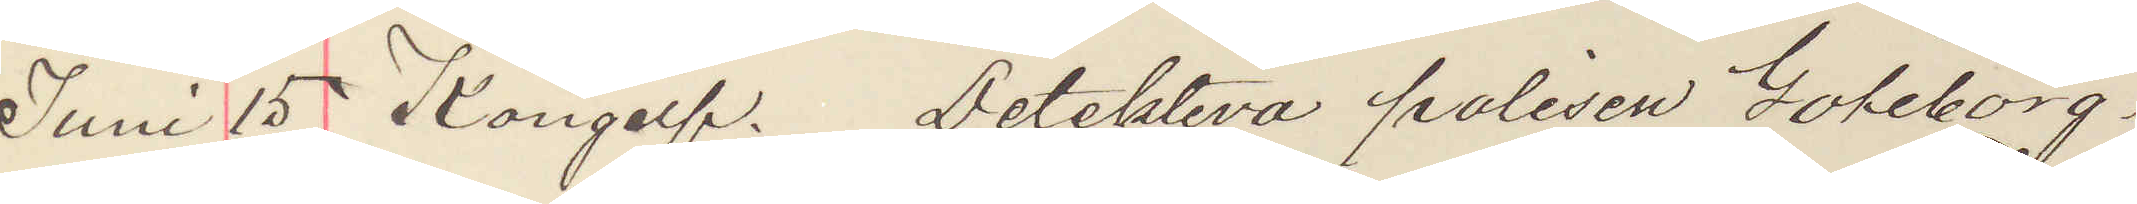Juni 15 Kongelf. Detektiva polisen Göteborg.
